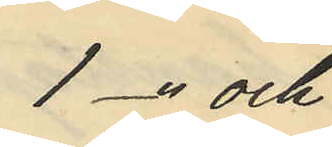1 -" och
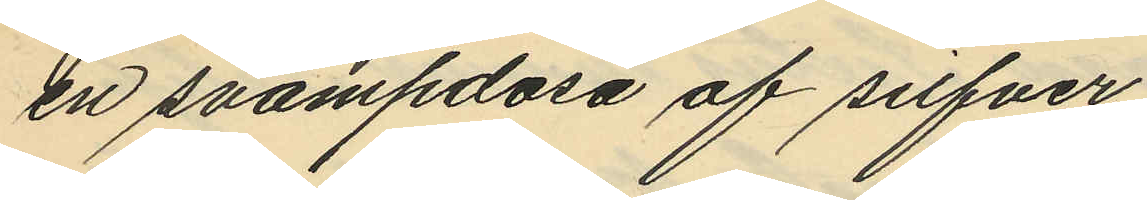en svampdosa af silfver
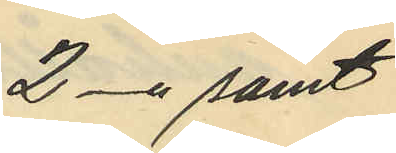2 -" samt
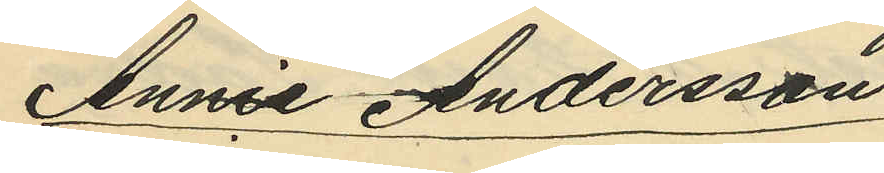Annie Andersson
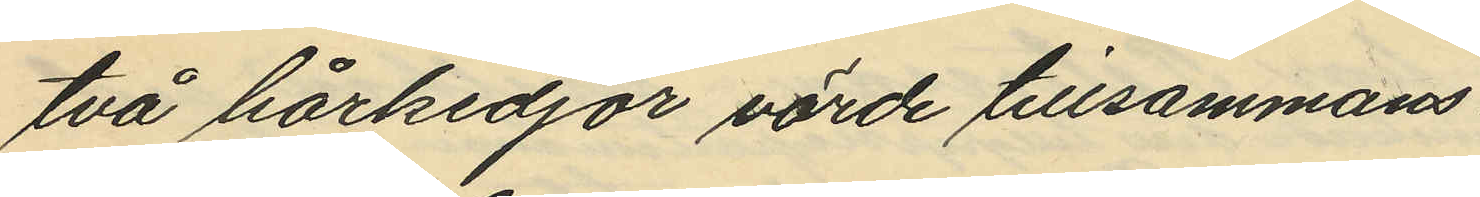två hårkedjor värde tillsammans
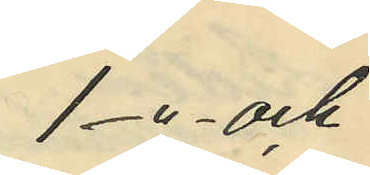1 -"- och
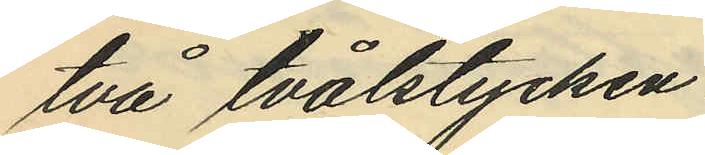två tvålstycken.
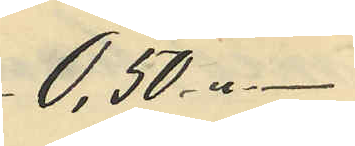0,50 "-
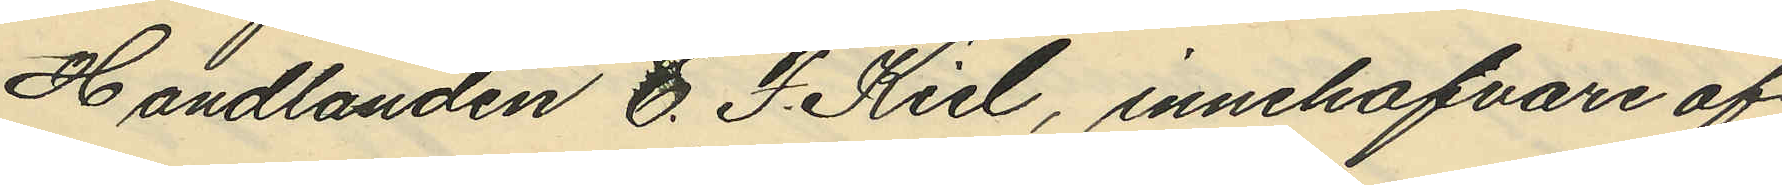Handlanden C. F. Kiel, innehafvare af
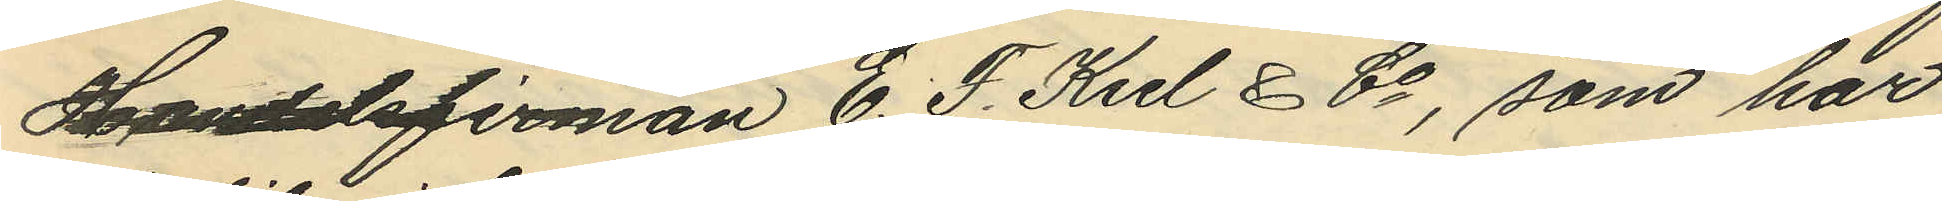Handelsfirman C. F. Kiel & Co, som har
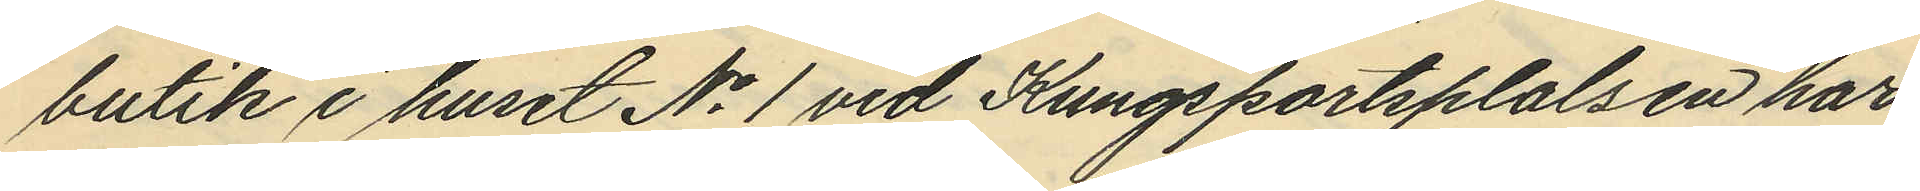butik i huset No 1 vid Kungsportsplalsen har
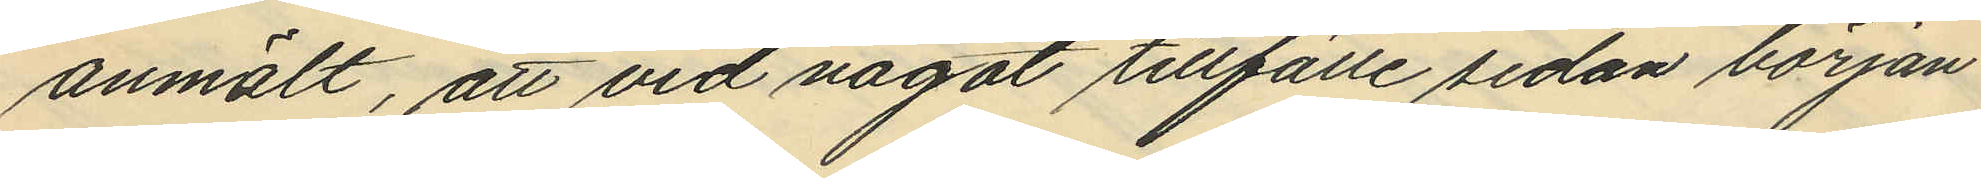anmält, att vid något tillfälle sedan början
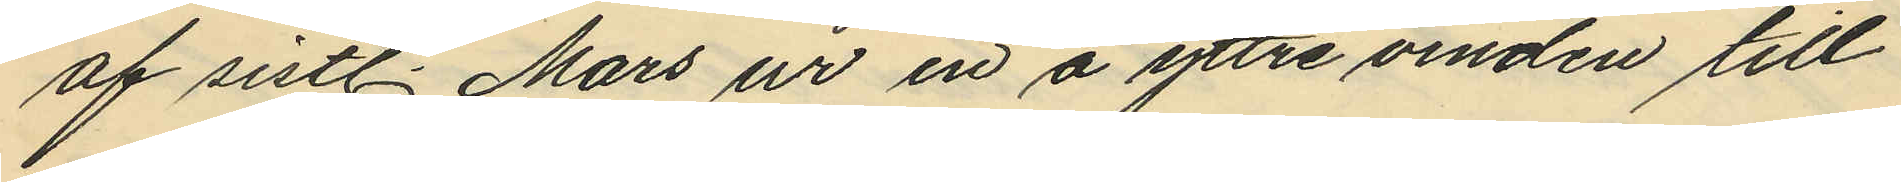af sistl. Mars ur en å yttre vinden till
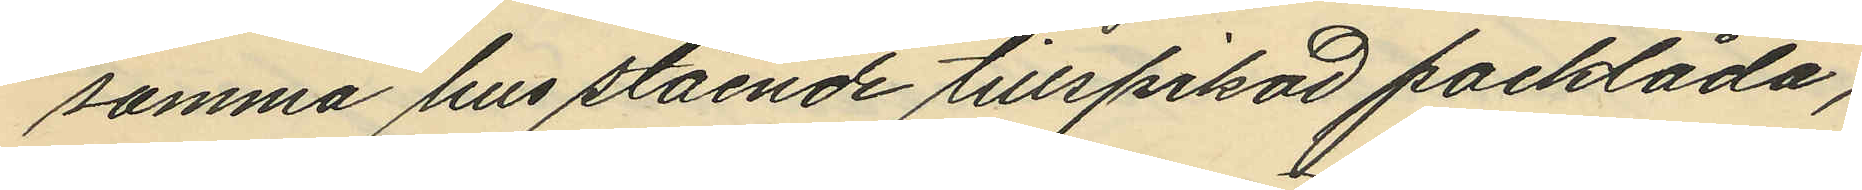samma hus stående tillspikad packlåda,
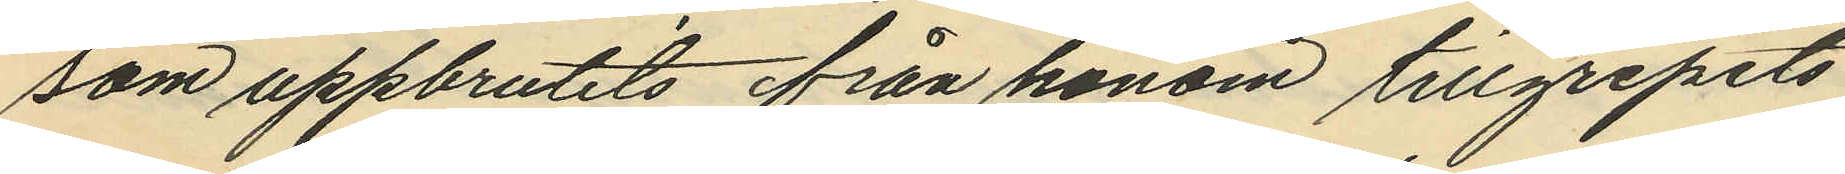som uppbrutits från honom tillgripits
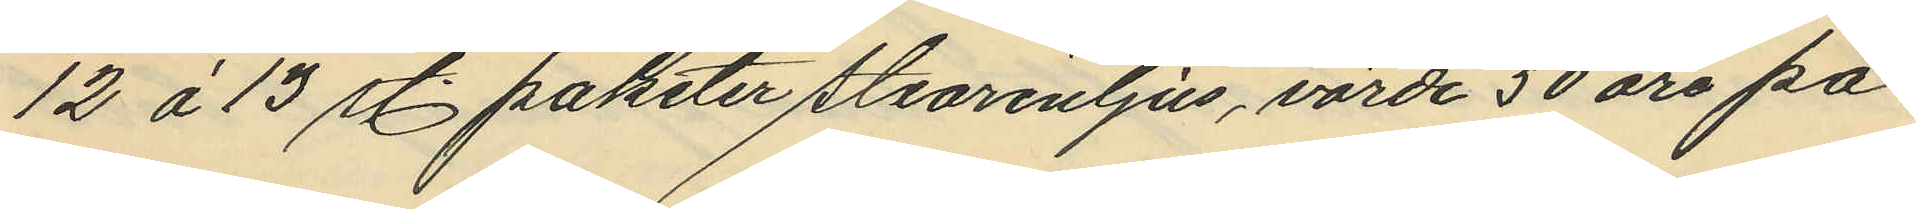12 á 13 st paketer stearinljus, värde 50 öre pa¬
